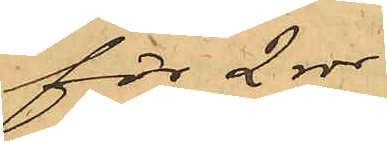för 2 rdr
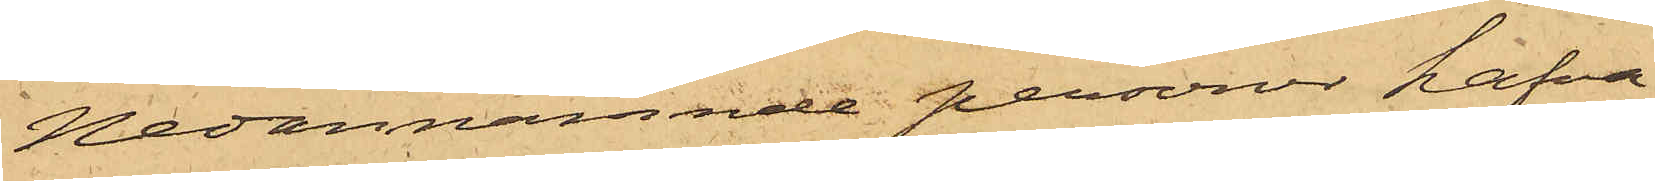Nedannämnde personer hafva
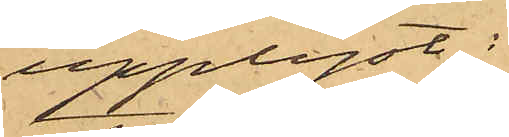upplyst:
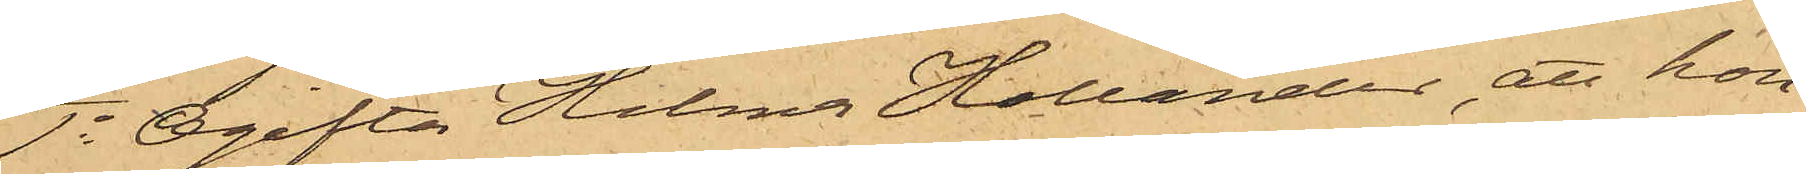1o Ogifta Helma Hallander, att hon
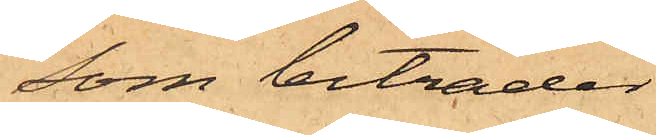som biträder
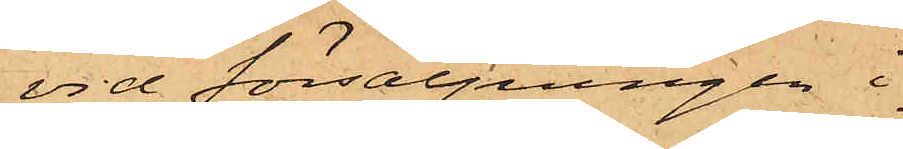vid försäljningen i
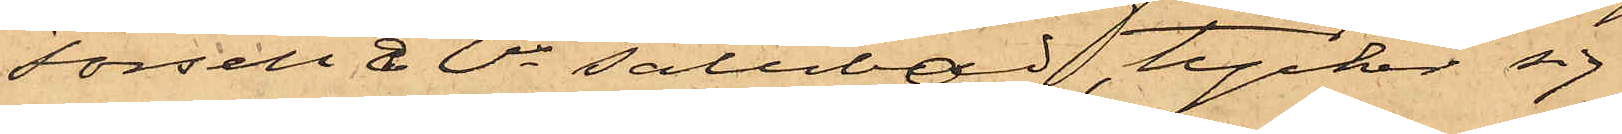Forsell & Ci salubod, tycker sig
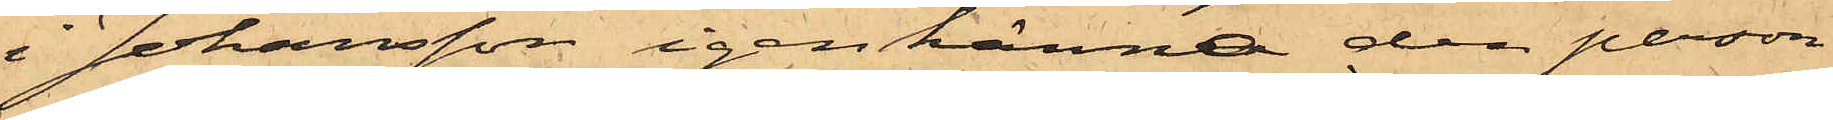i Johansson igenkänna den person
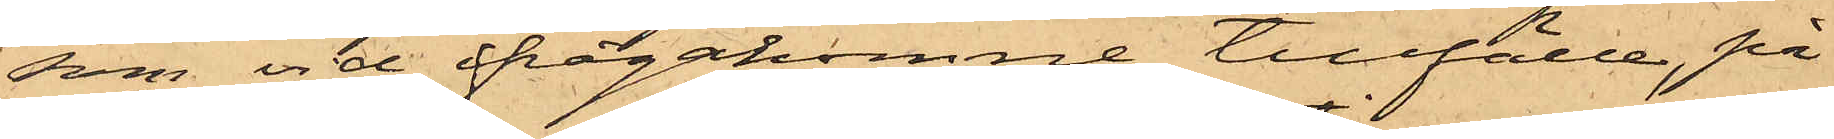som vid ifrågakomne tillfälle, på
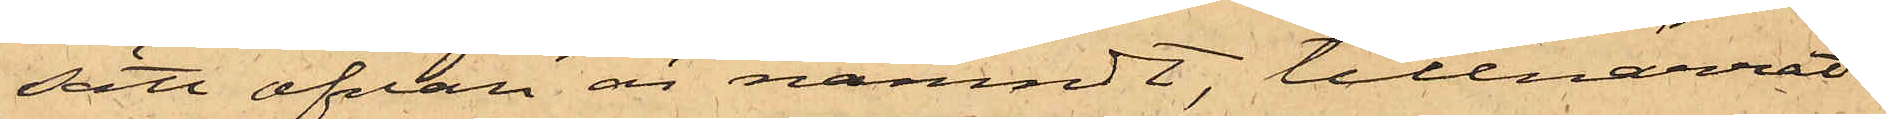sätt ofvan är nämndt, tillnarrat
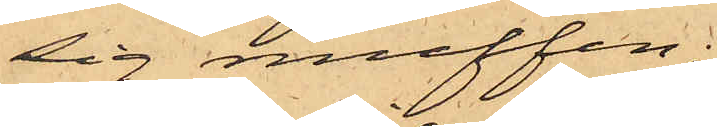sig muffen.
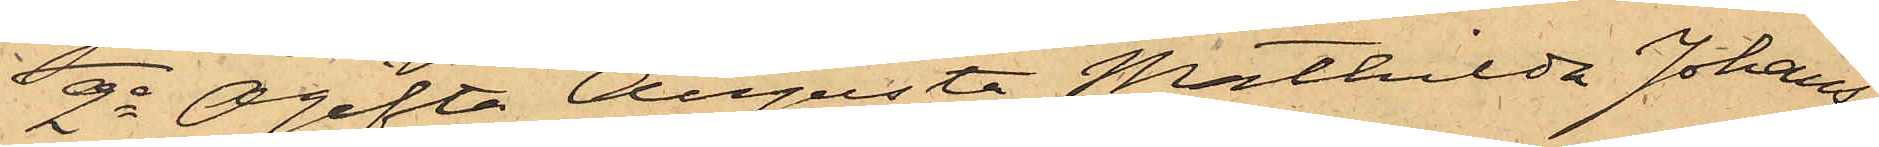2o Ogifta Augusta Mathilda Johans¬
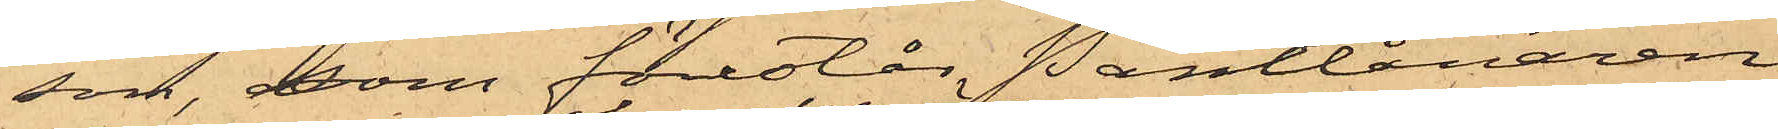son, som förestår Pantlånaren
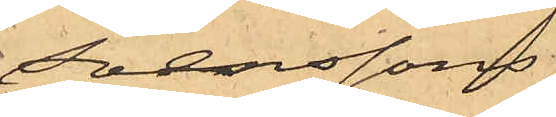Svenssons
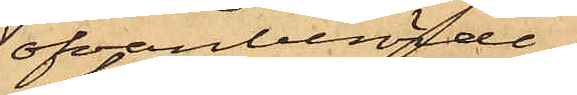ofvanberörde
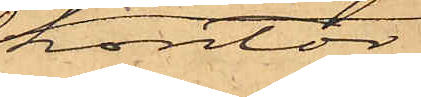kontor,
